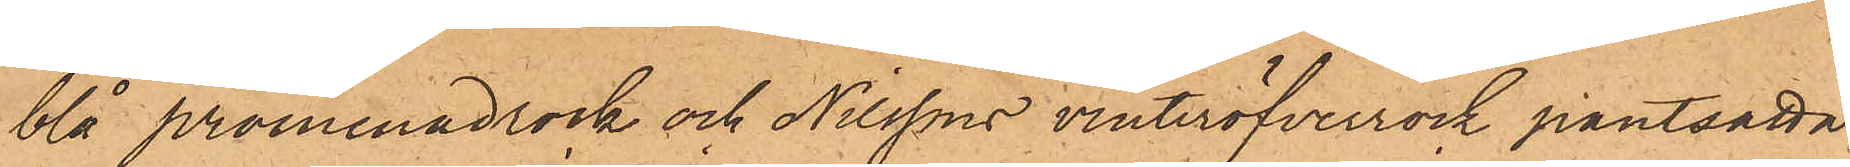blå promenadrock och Nilssons vinteröfverrock pantsatta
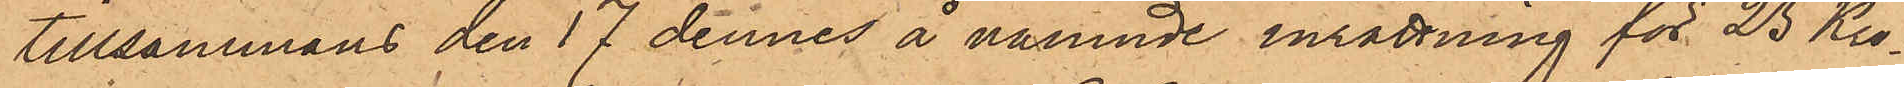tillsammans den 17 dennes å nämnde inrättning för 25 Kro¬
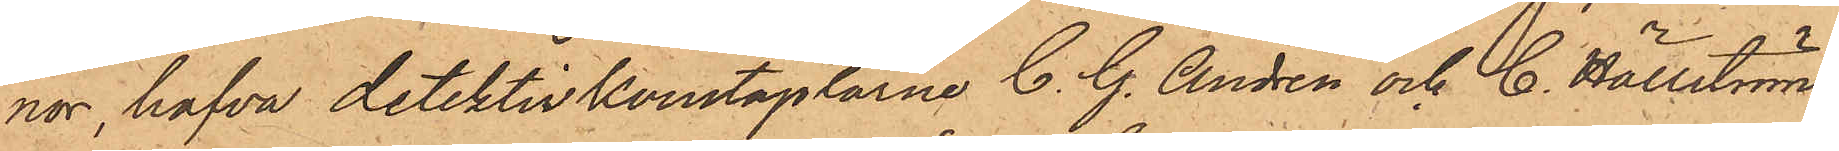nor, hafva detektivkonstaplarne C. G. Andrén och C. Hällström
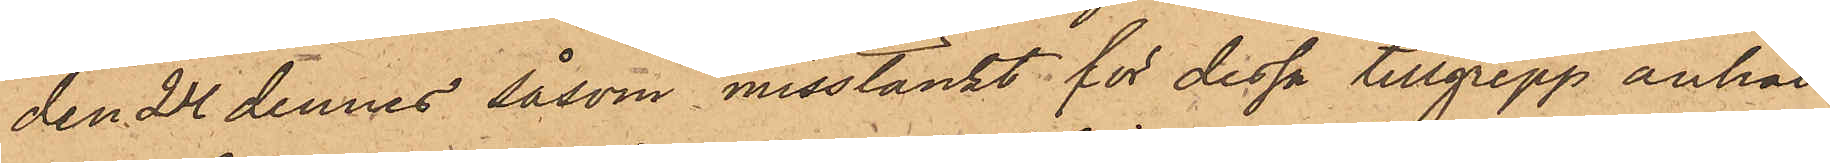den 24 dennes såsom misstänkt för dessa tillgrepp anhål¬
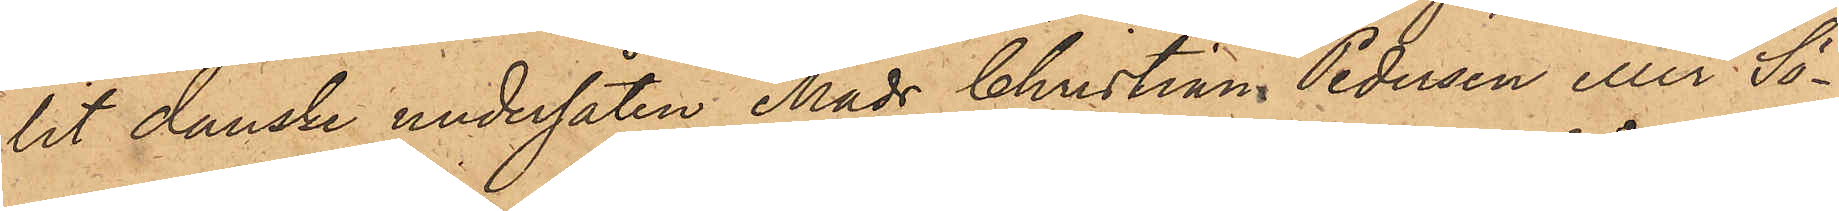lit danske undersåten Mads Christian Pedersen eller Sö¬
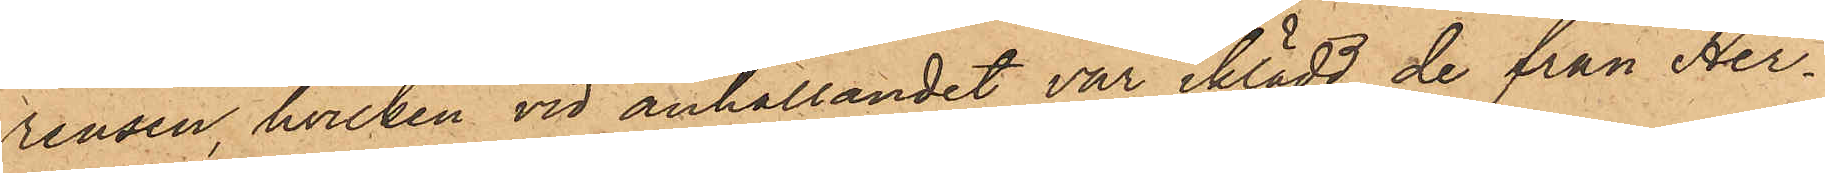rensen, hvilken vid anhållandet var iklädd de från Her¬
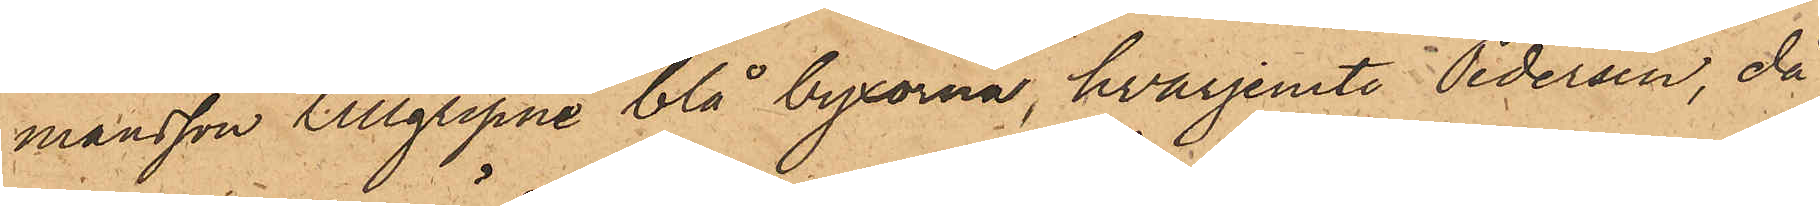mansson tillgripne blå byxorna, hvarjemte Pedersen, då
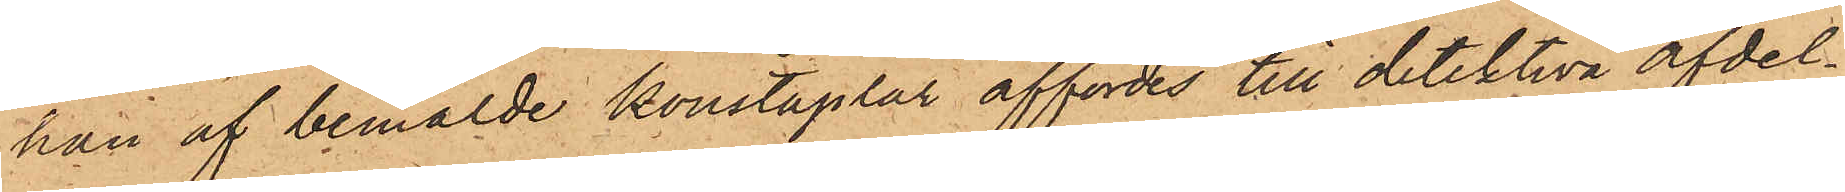han af bemälde konstaplar affördes till detektiva afdel¬
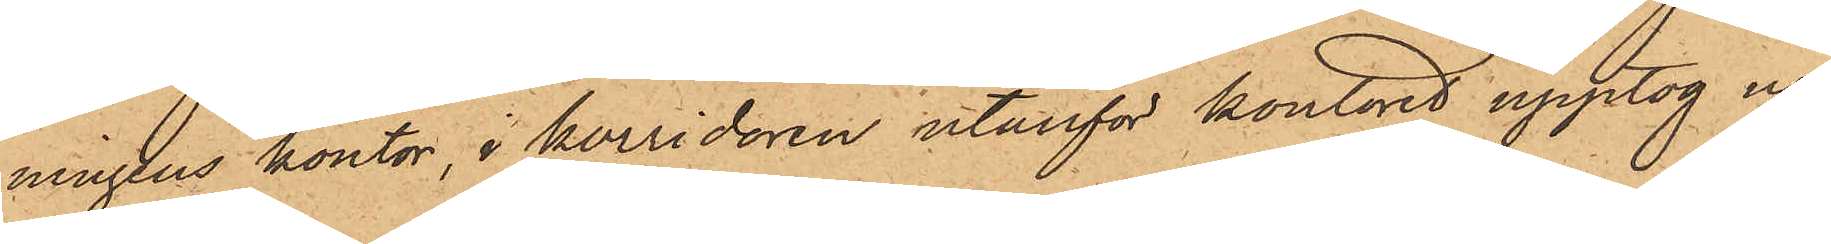ningens kontor, i korridoren utanför kontoret upptog ur
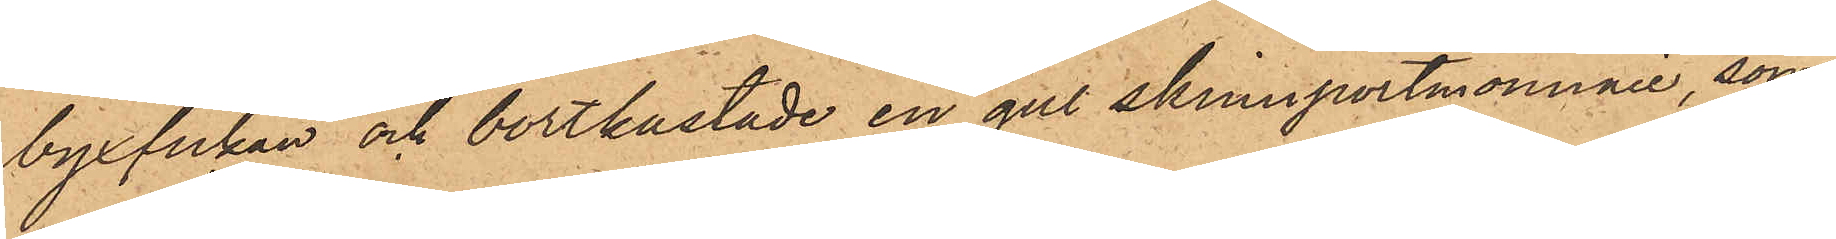byxfickan och bortkastade en gul skinnportmonnaie, som
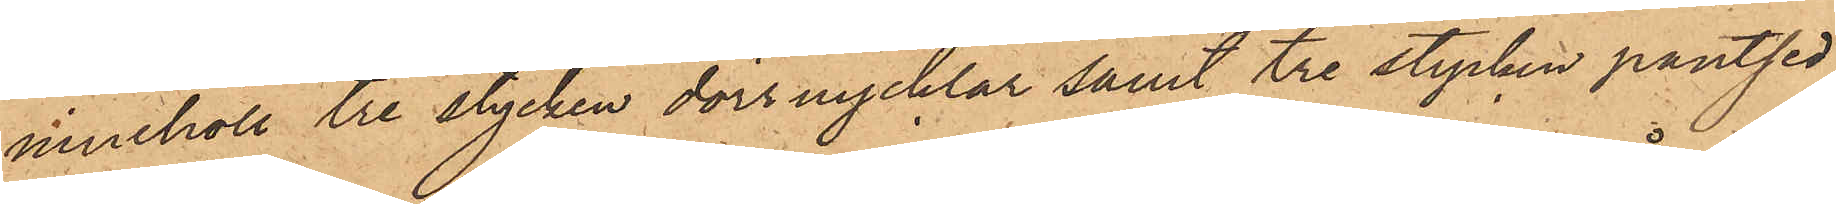innehöll tre stycken dörrnycklar samt tre stycken pantsed¬
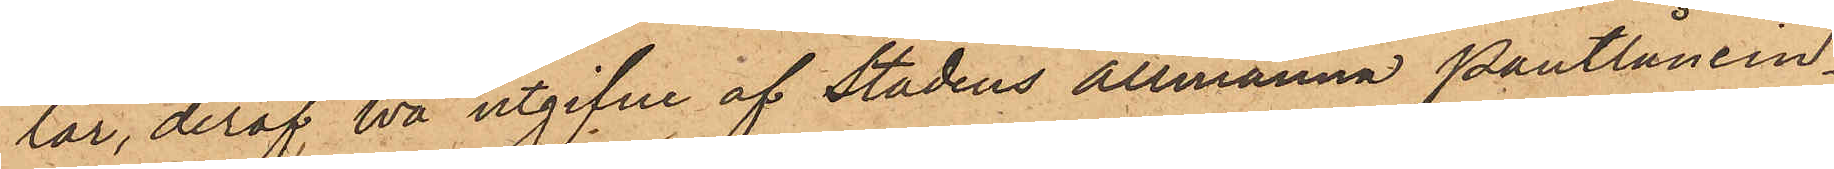lar, deraf två utgifne af Stadens allmänna Pantlånein¬
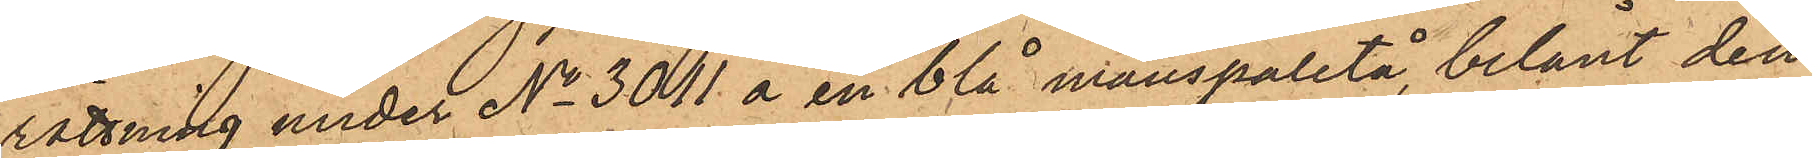rättning under No 3011 å en blå manspaletå, belånt den
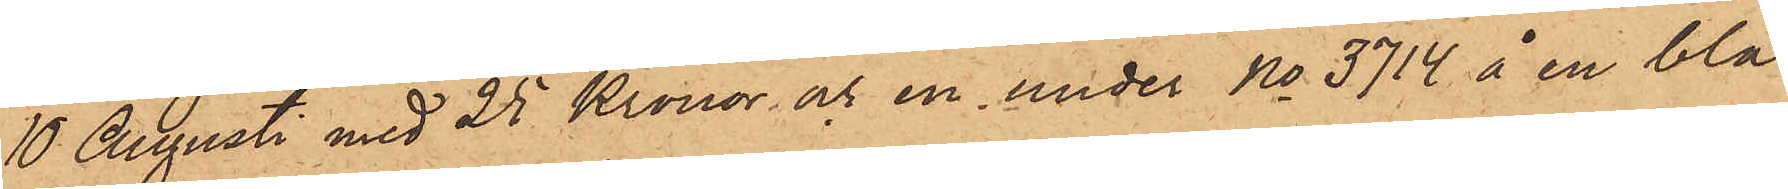10 Augusti med 25 Kronor och en under No 3714 å en blå
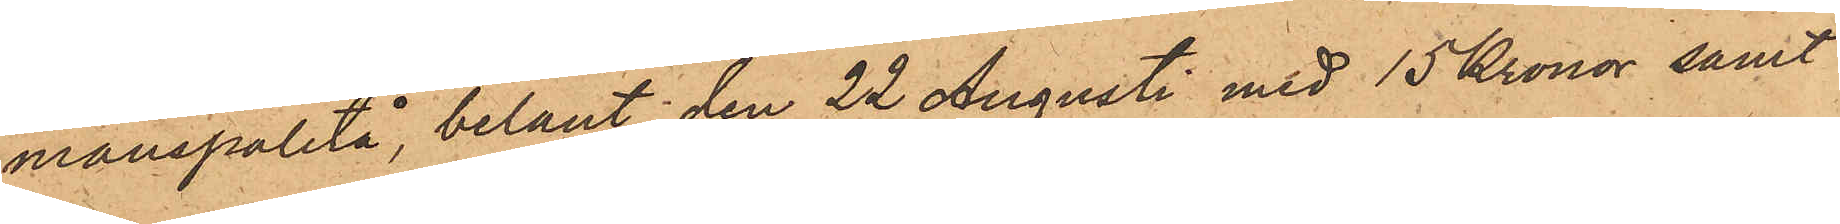manspaletå, belånt den 22 Augusti med 15 Kronor samt
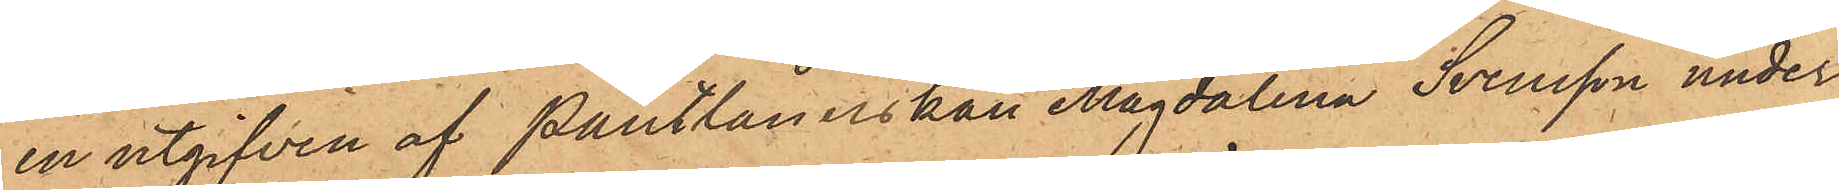en utgifven af Pantlånerskan Magdalena Svensson under
